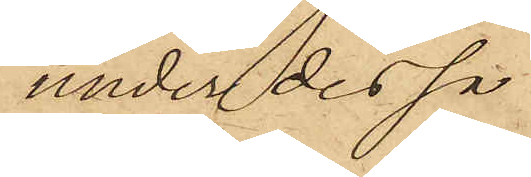under dessa
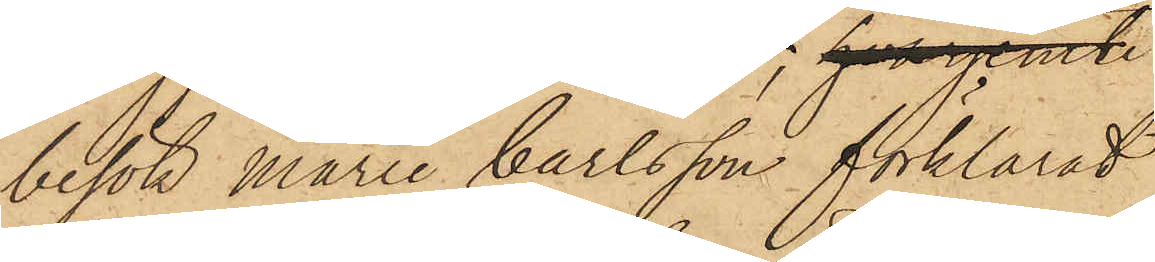besök Marie Carlsson förklarat
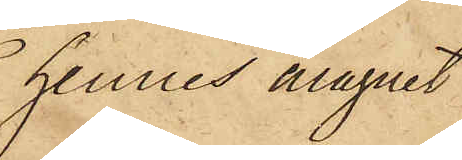hennes magnet
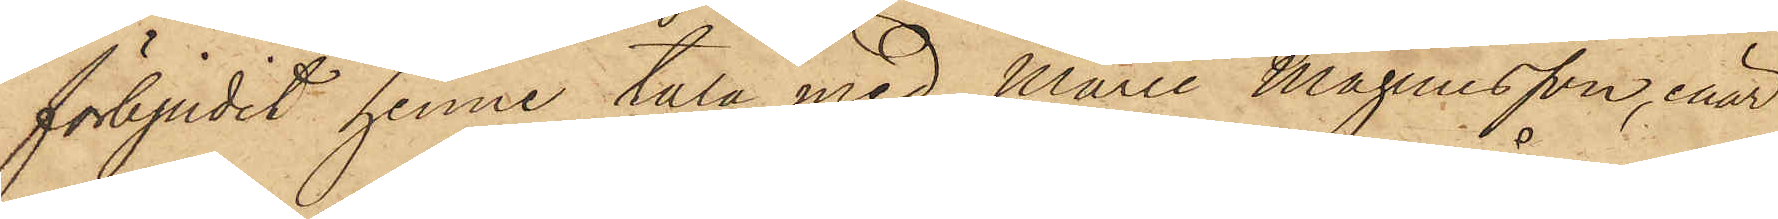förbjudit henne tala med Marie Magnusson, enär
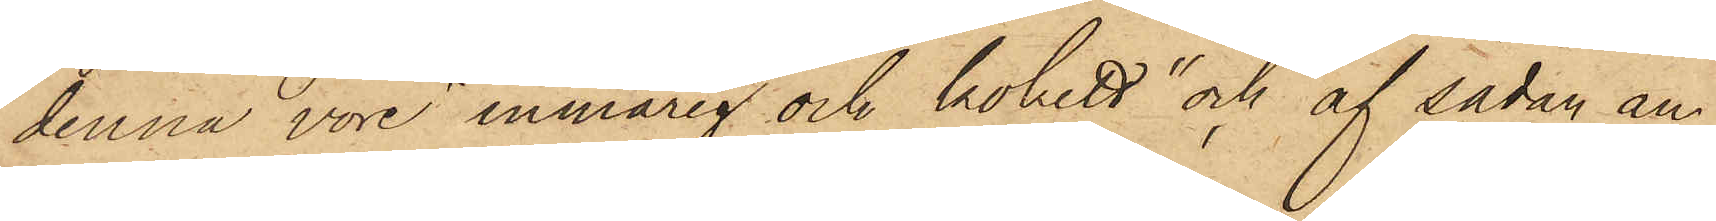denna vore "inmarig och kokett" och af sådan an¬
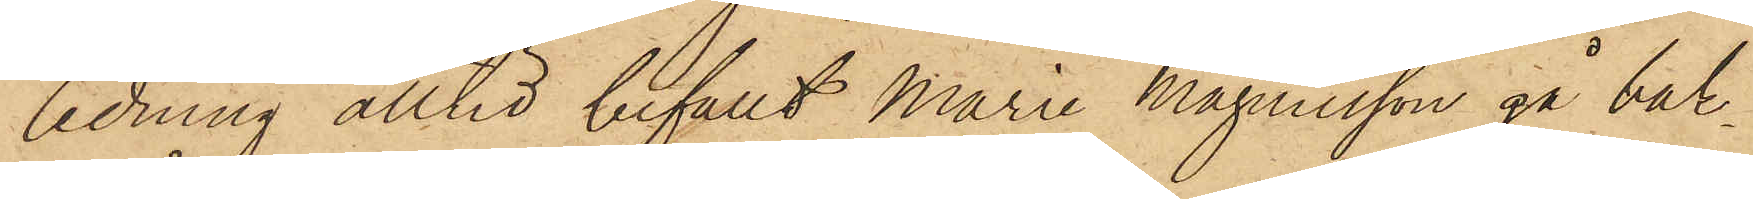ledning alltid befallt Marie Magnusson gå bak¬
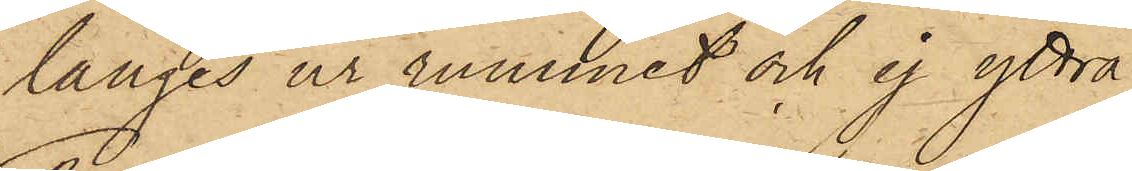länges ur rummet och ej yttra
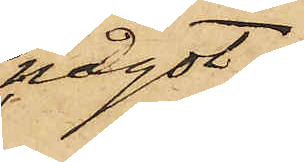något;
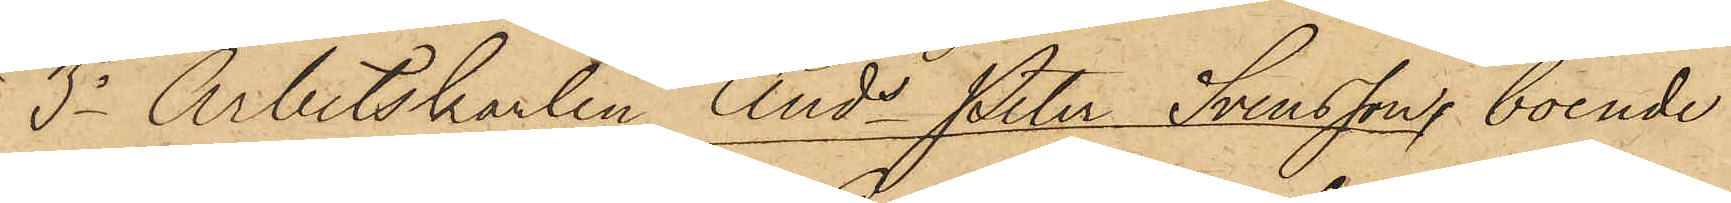3o Arbetskarlen Ands Peter Svensson, boende
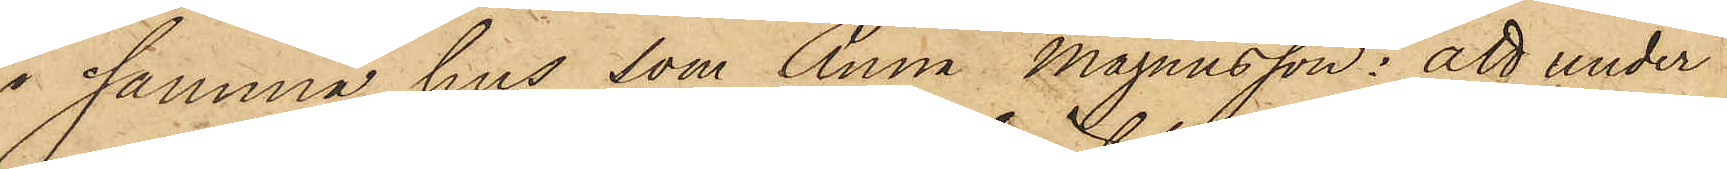i samma hus, som Anna Magnusson: att under
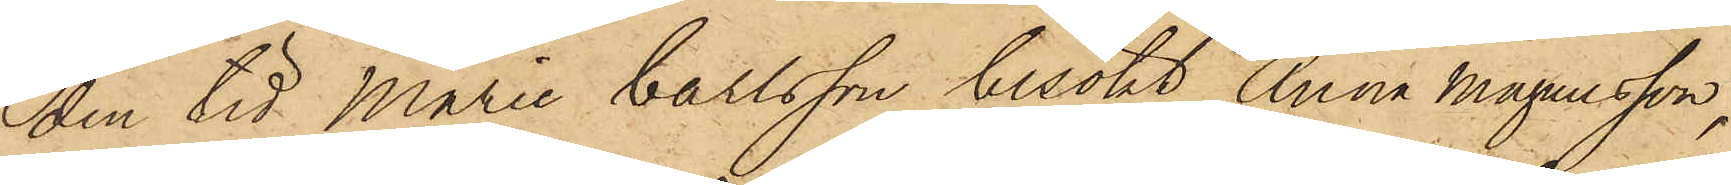den tid Marie Carlsson besökt Anna Magnusson,
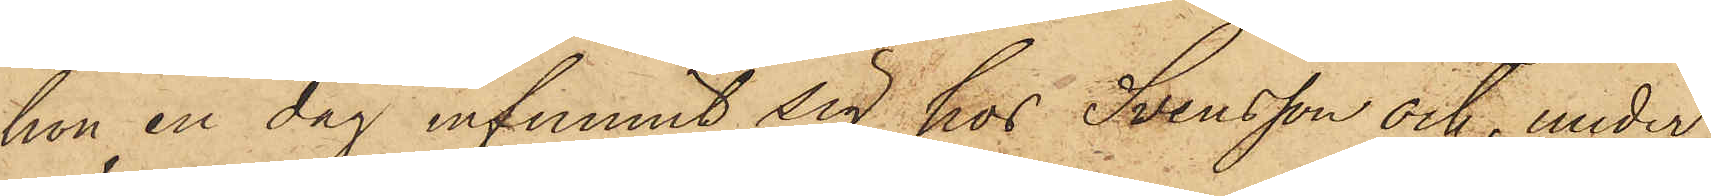hon en dag infunnit sig hos Svensson och, under
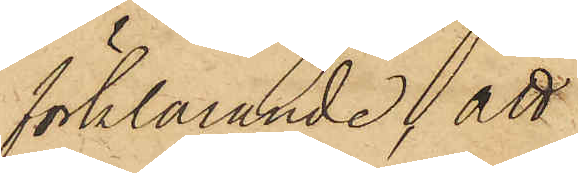förklarande, att
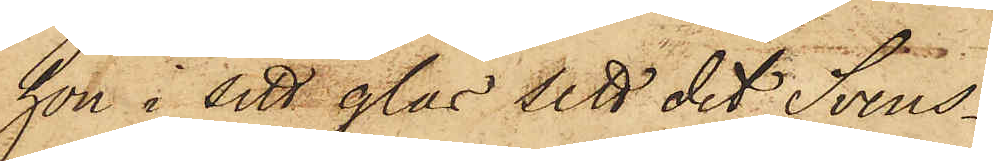hon i sitt glas sett det Svens¬
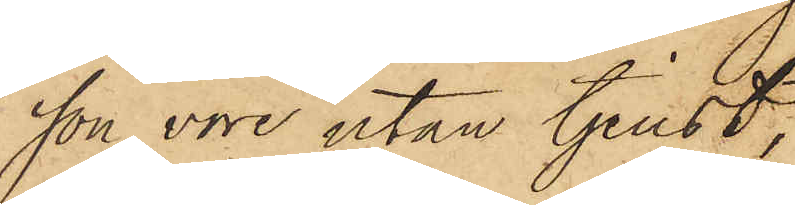sson vore utan tjenst,
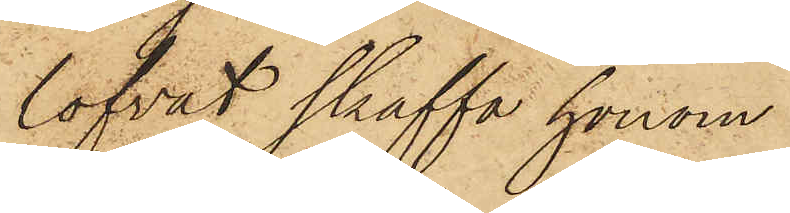lofvat skaffa honom
